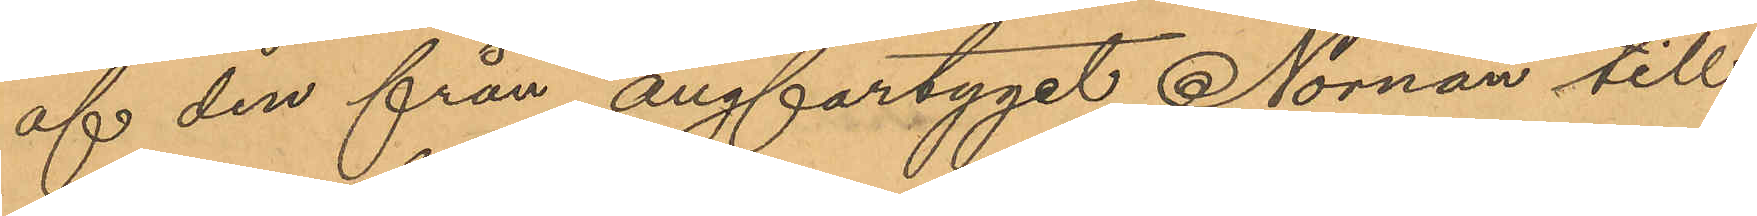af den från ångfartyget Nornan till¬
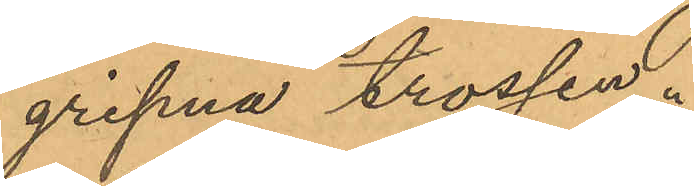gripna trossen.
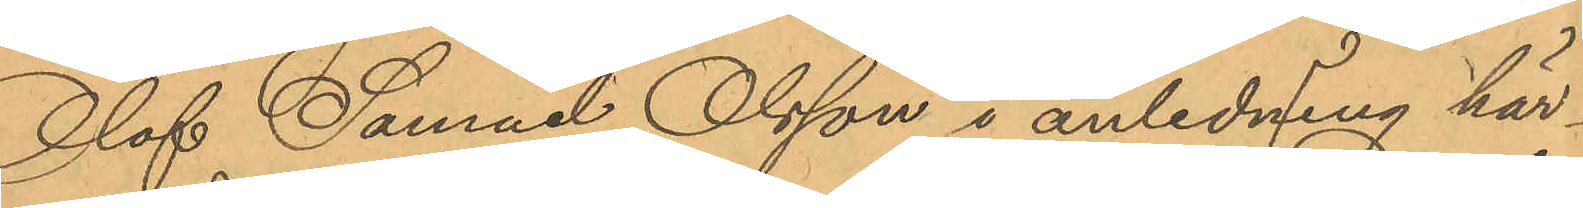Olof Samuel Olsson i anledning här¬
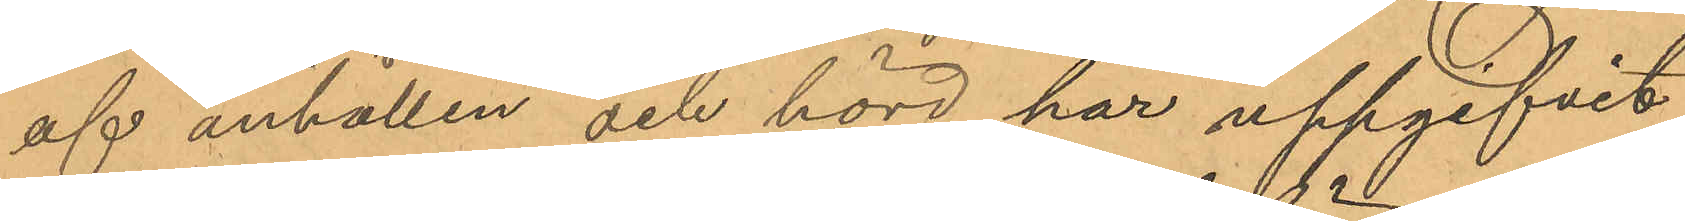af anhållen och hörd har uppgifvit
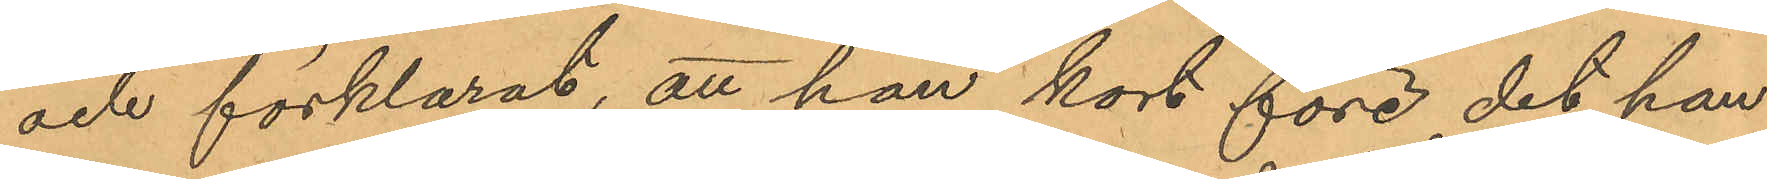och förklarat, att han kort före det han
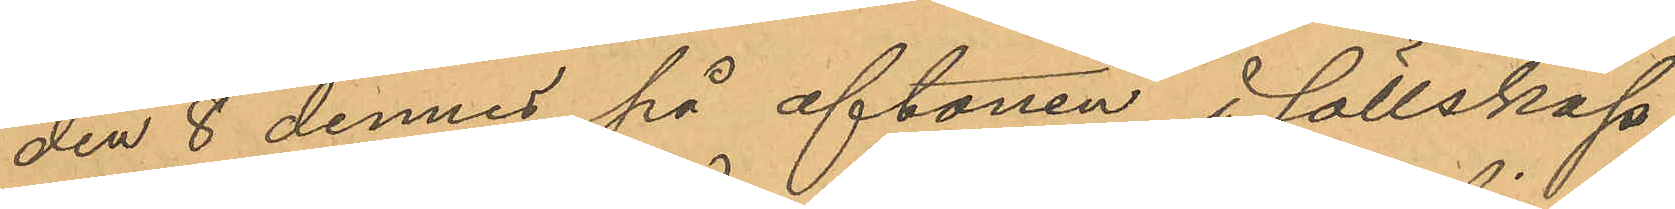den 8 dennes på aftonen, i sällskap
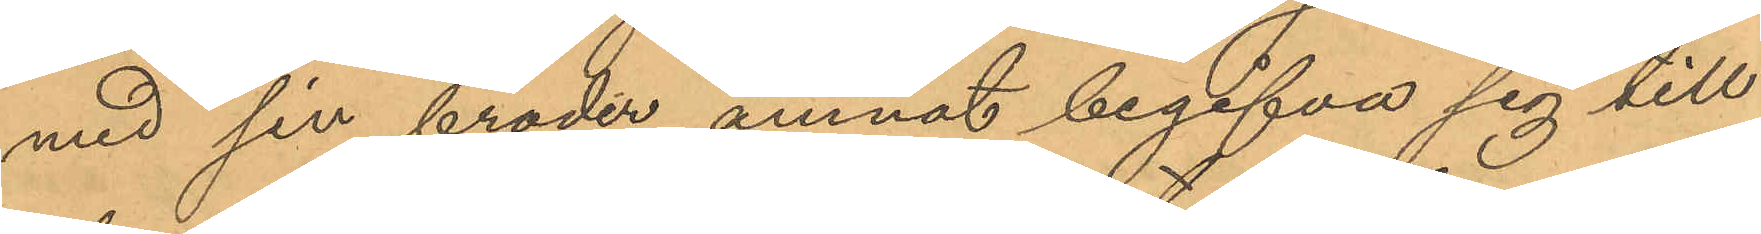med sin broder ämnat begifva sig till
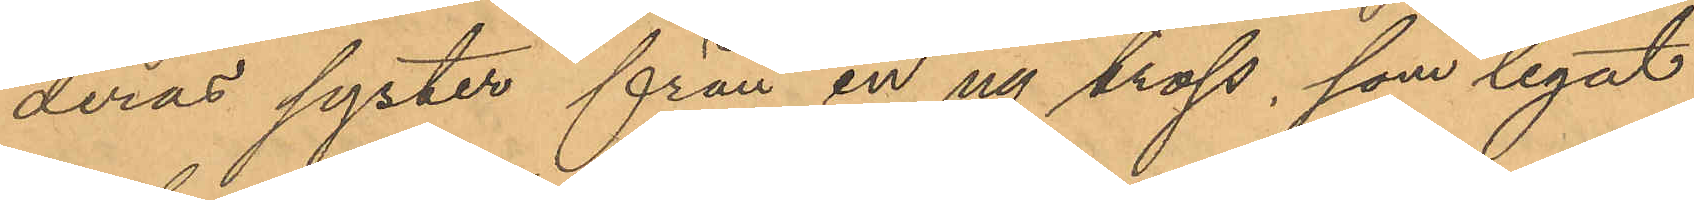deras syster, från en ny tross, som legat
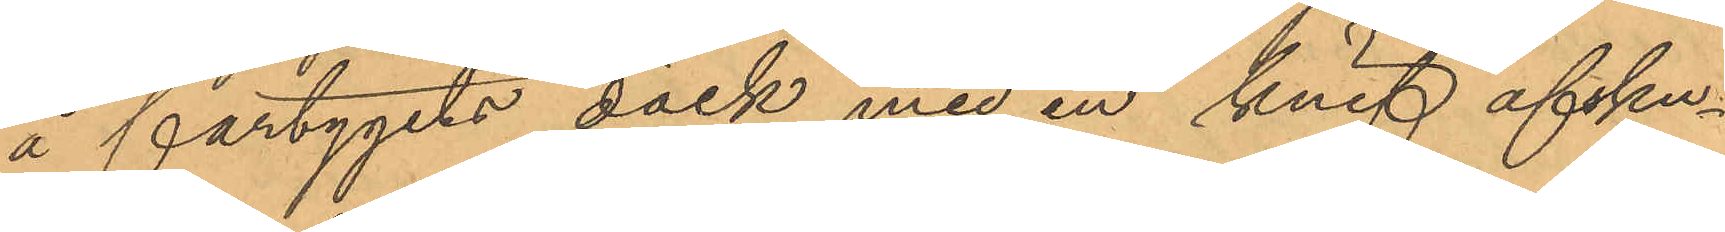å fartygets däck med en knif afsku¬
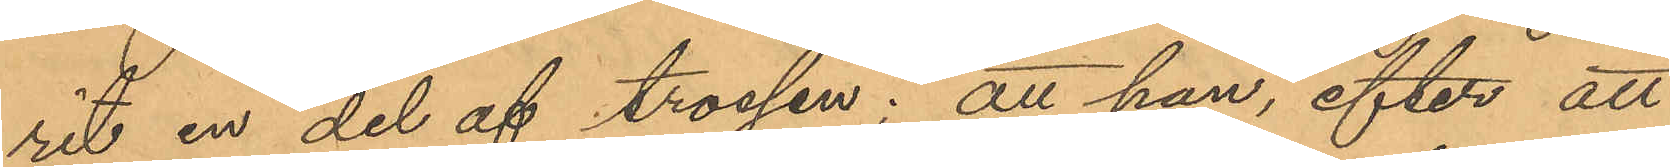rit en del af trossen; att han, efter att
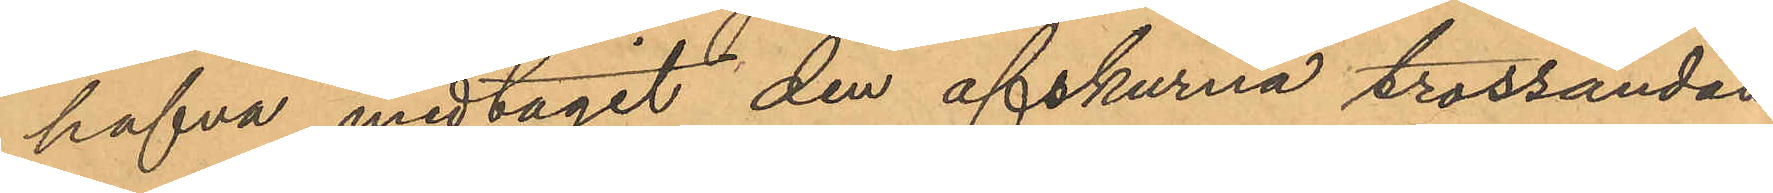hafva medtagit den afskurna trossändan
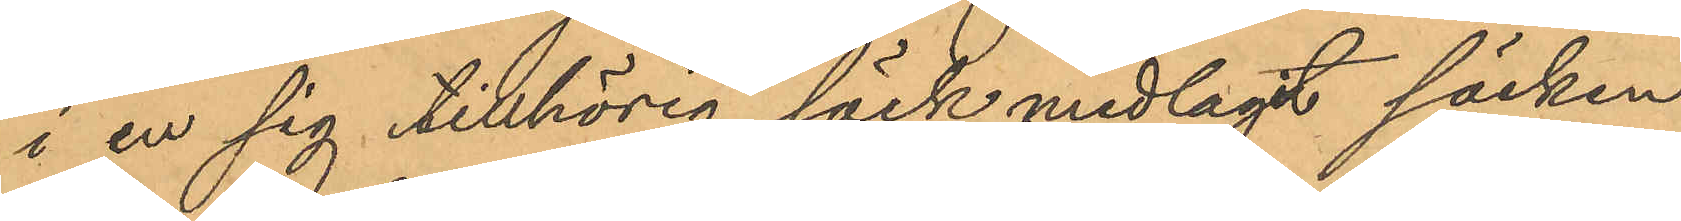i en sig tillhörig säck nedlagt säcken
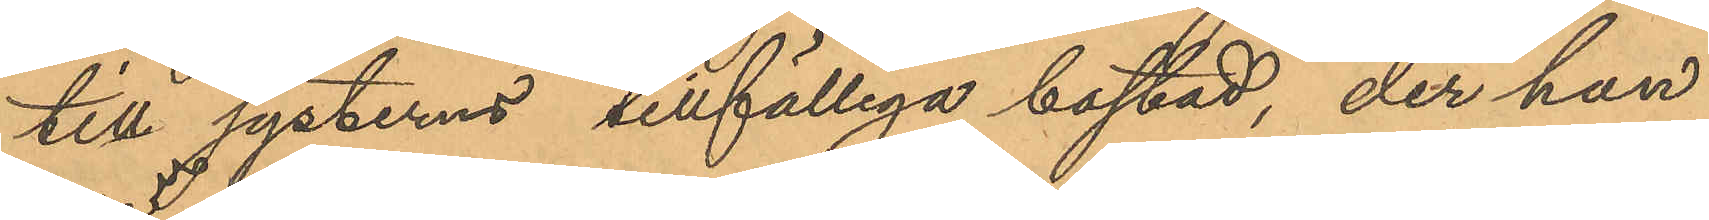till systerns tillfälliga bostad, der han
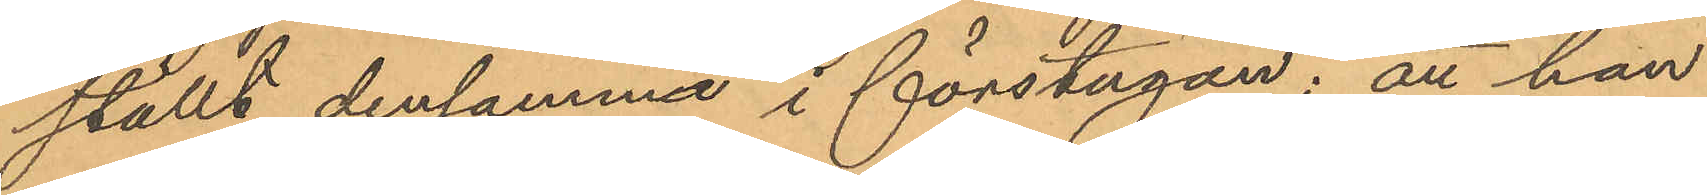ställt densamma i förstugan; att han
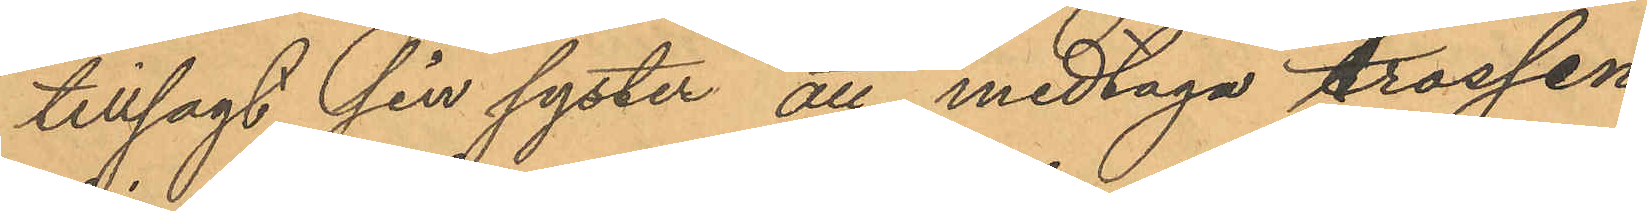tillsagt sin syster att medtaga trossen
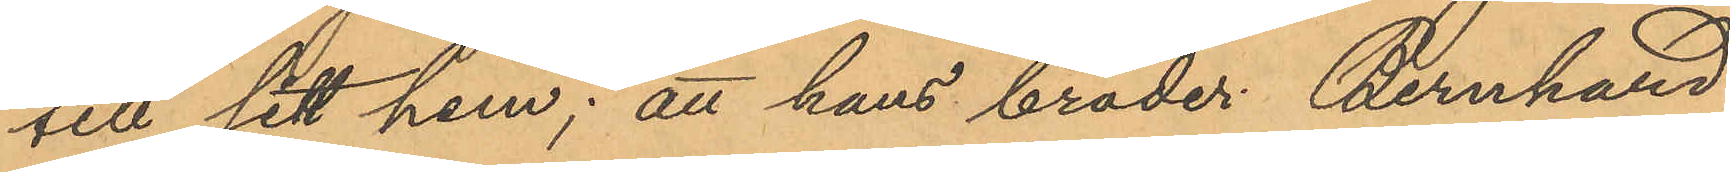till sitt hem; att hans broder Bernhard
